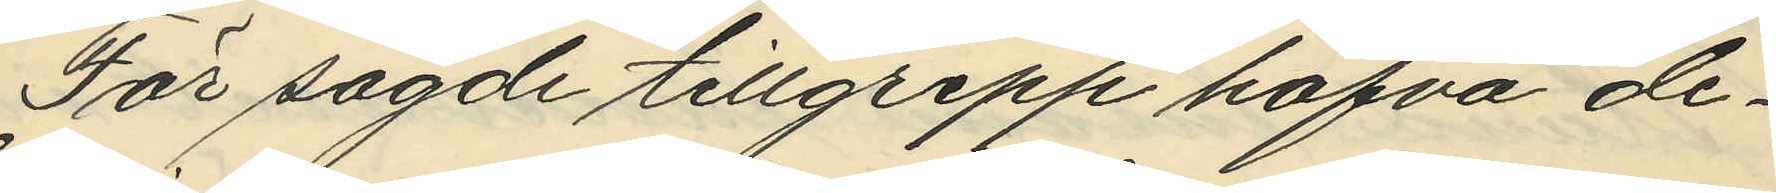För sagde tillgrepp hafva de¬
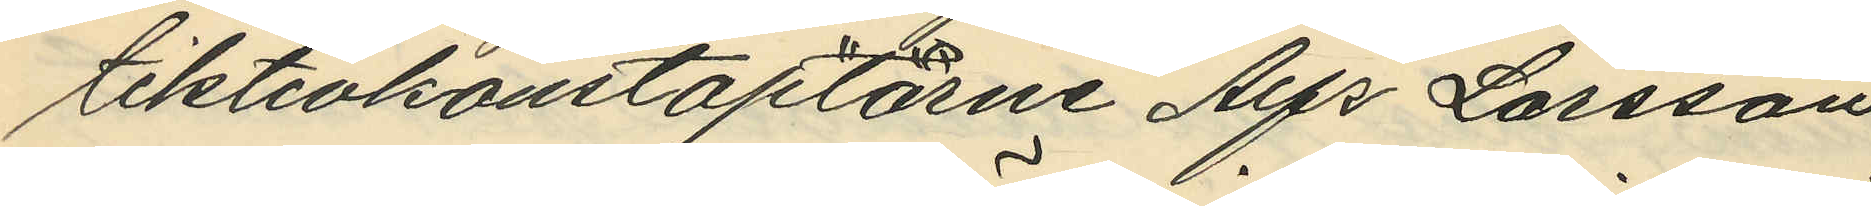tektivkonstaplarne Alfr. Larsson
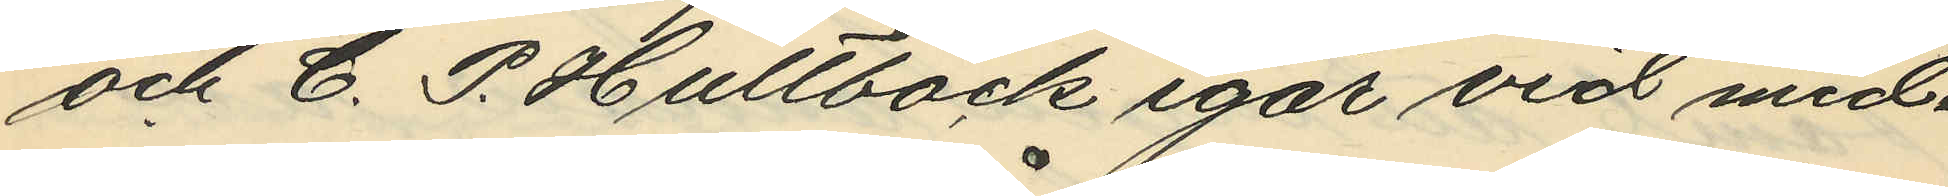och C. P. Hultbäck igår vid mid¬
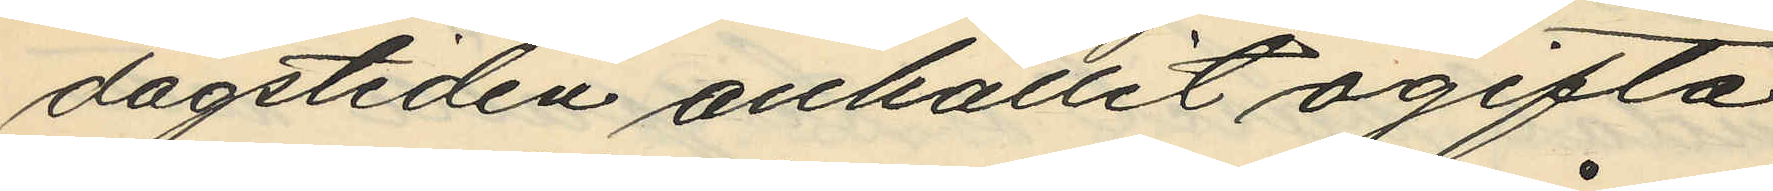dagstiden anhållit ogifta
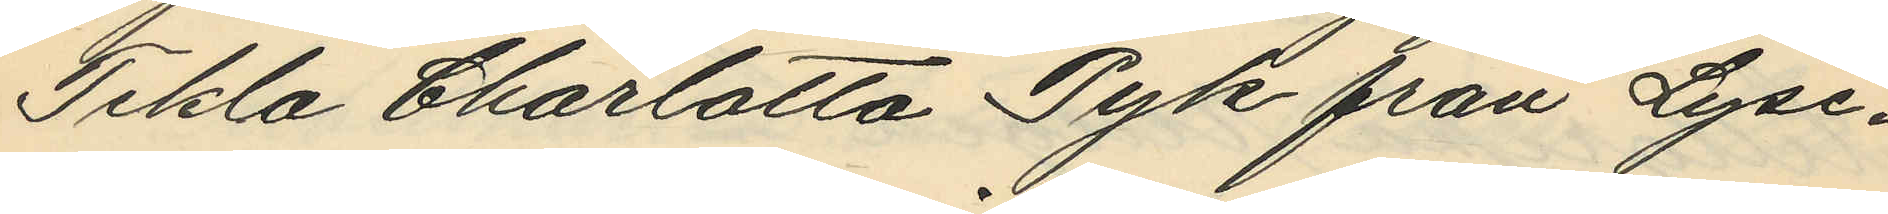Tekla Charlotta Pyk från Lyse¬
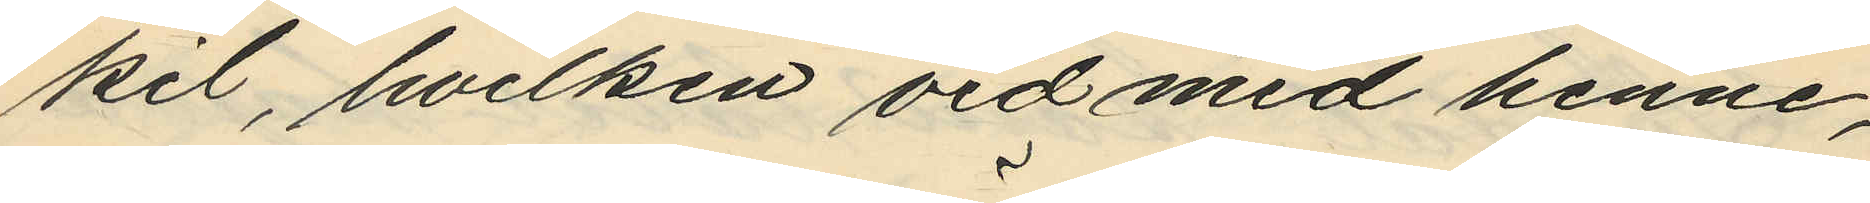kil, hvilken vid med henne,
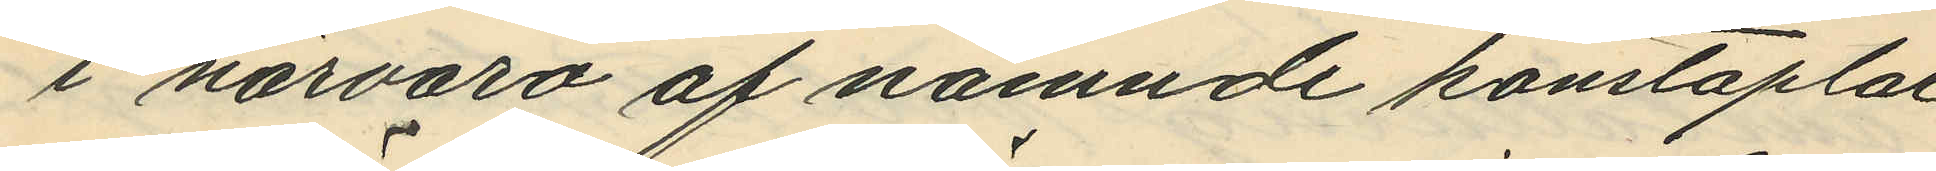i närvaro af nämnde konstaplar
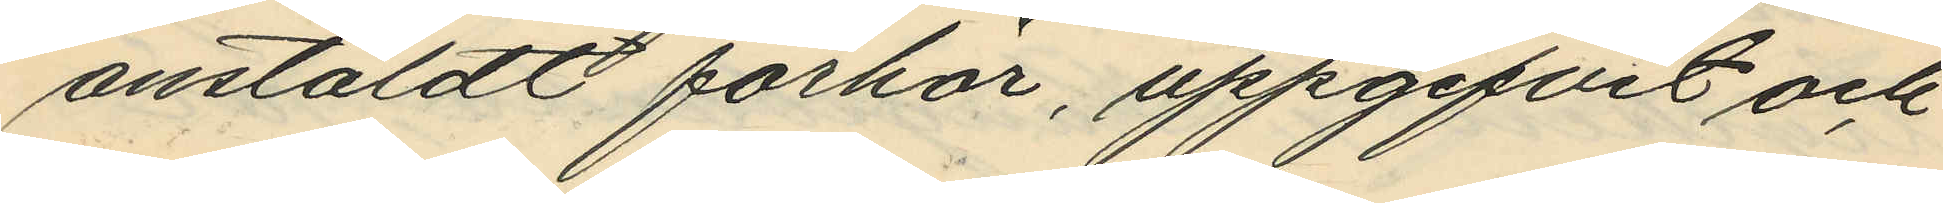anstäldt förhör, uppgifvit och
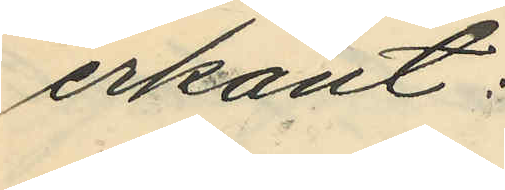erkänt:
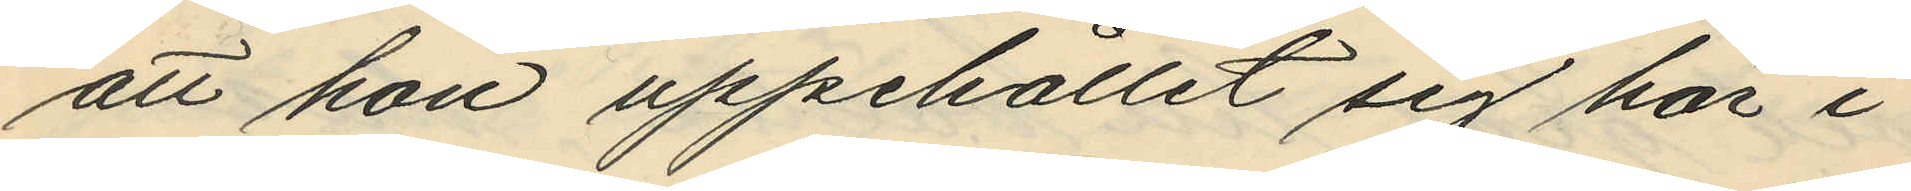att hon uppehållit sig här i
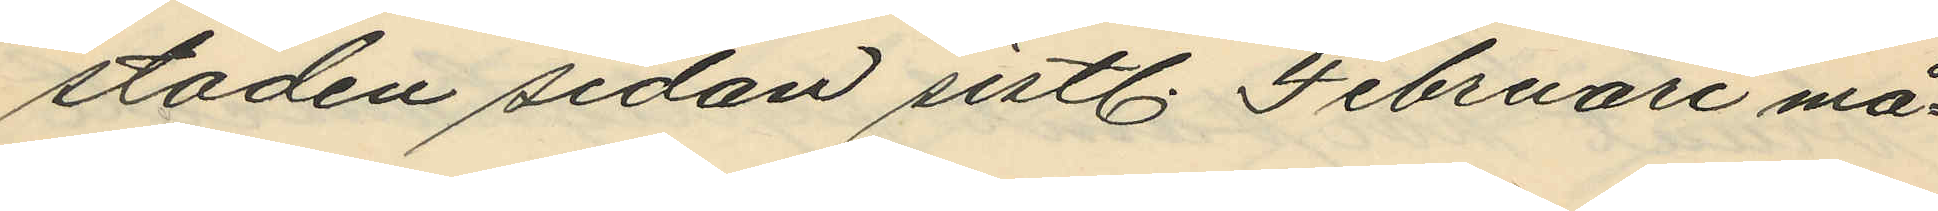staden sedan sistl. Februari må¬
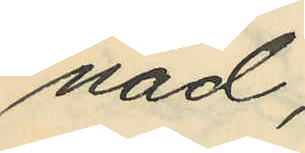nad;
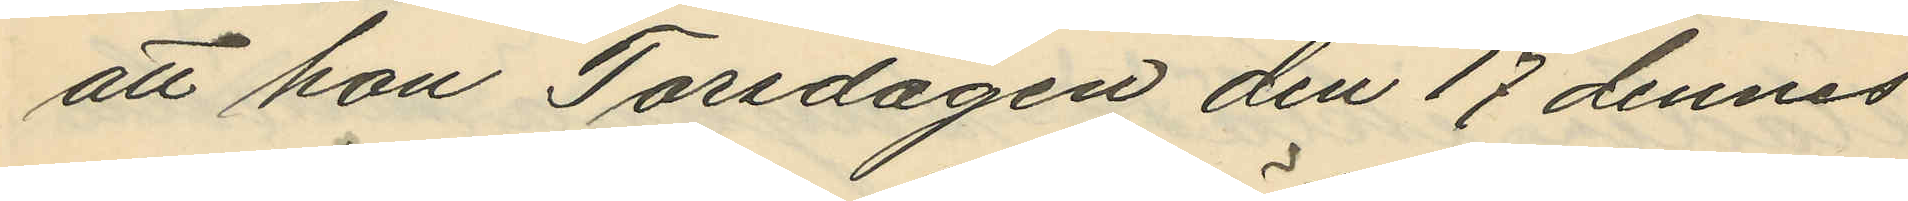att hon Torsdagen den 17 dennes
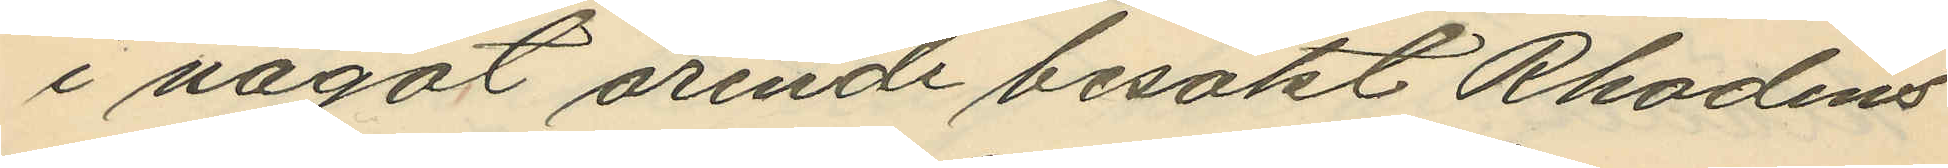i något ärende besökt Rhodins
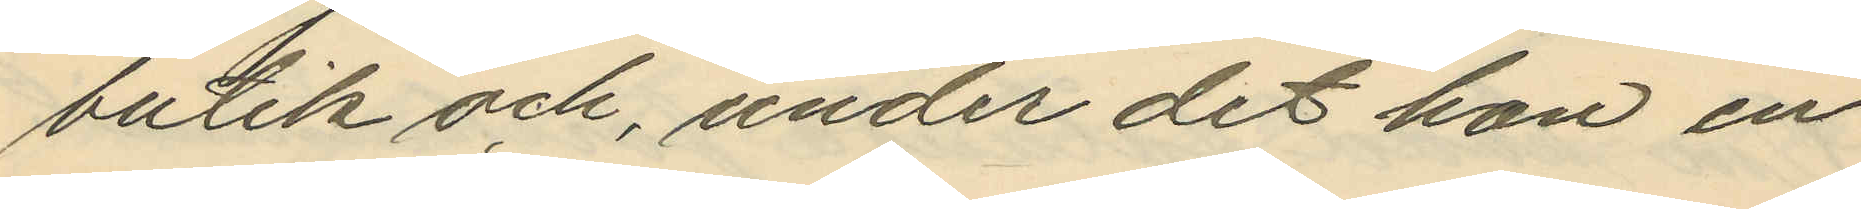butik och, under det hon en
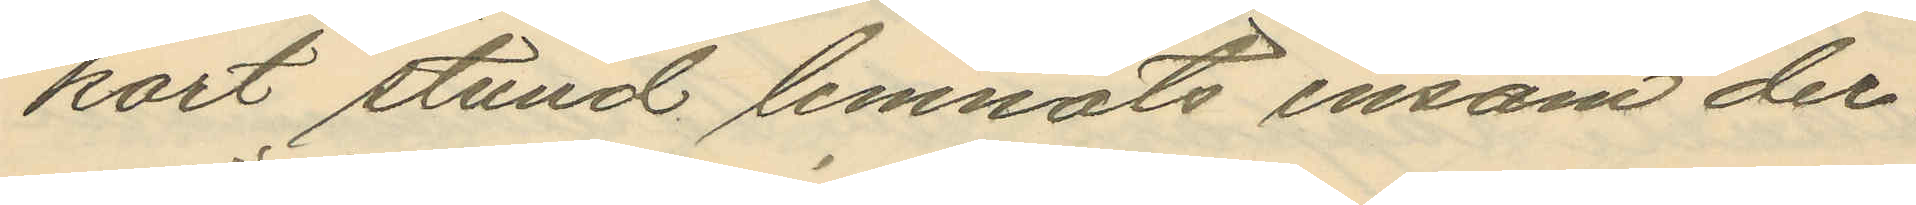kort stund lemnats ensam der¬
